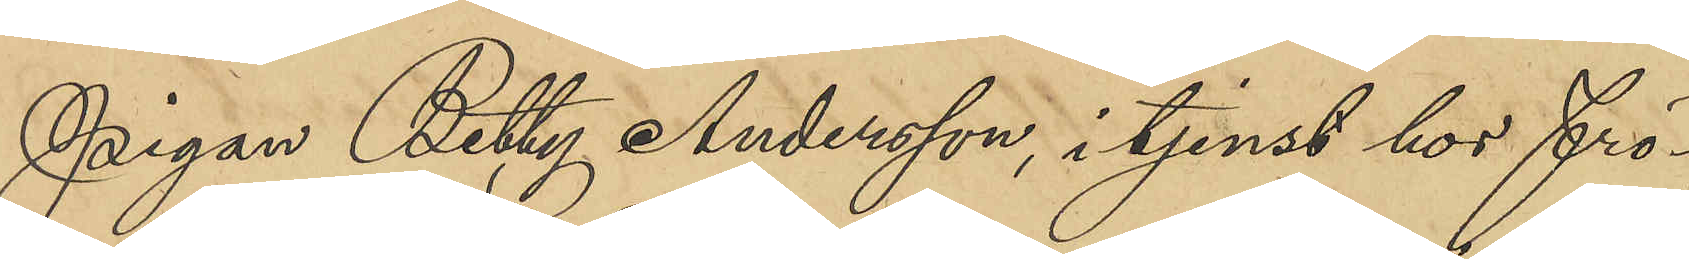Pigan Betty Andersson, i tjenst hos frö¬
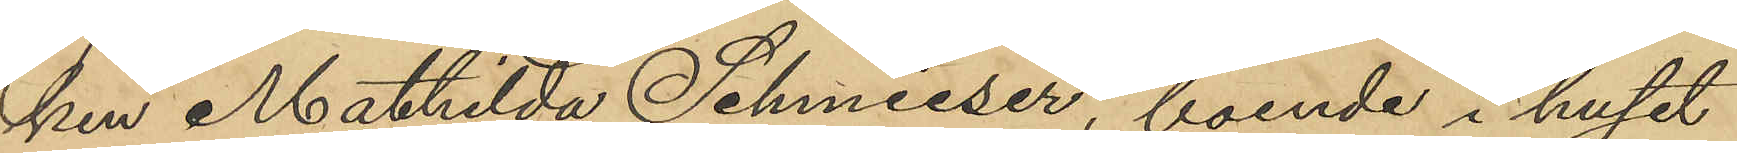ken Mathilda Schmieser, boende i huset
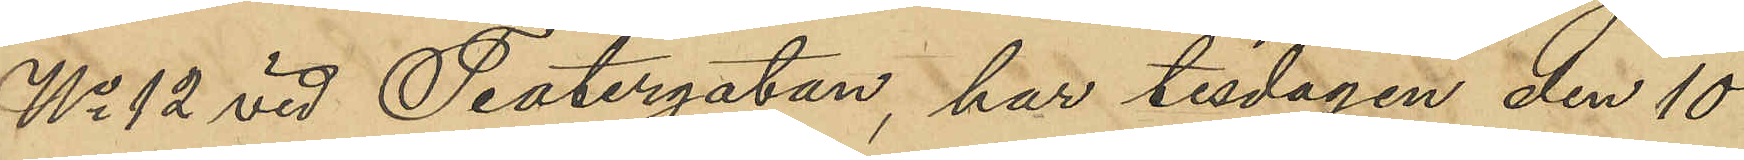No 12 vid Teatergatan, har tisdagen den 10
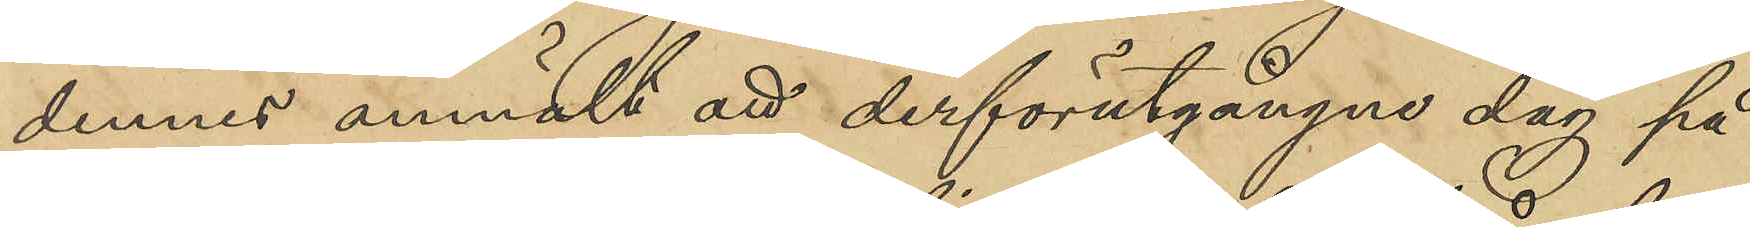dennes anmält att derförutgångne dag på
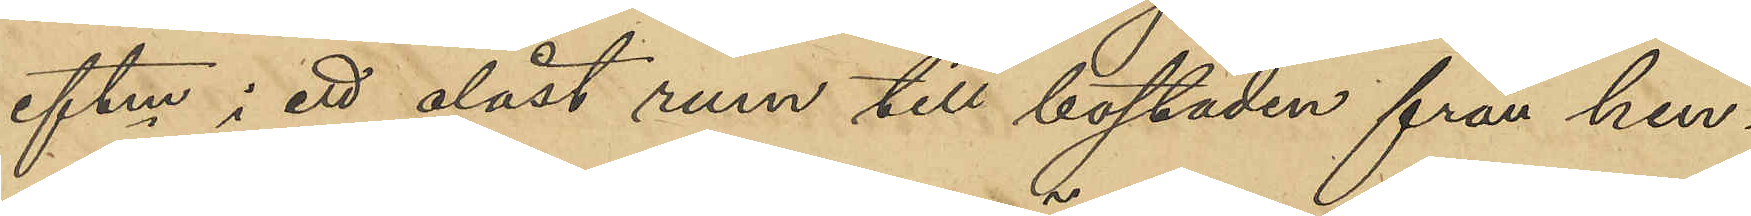eftm i ett olåst rum till bostaden från hen¬
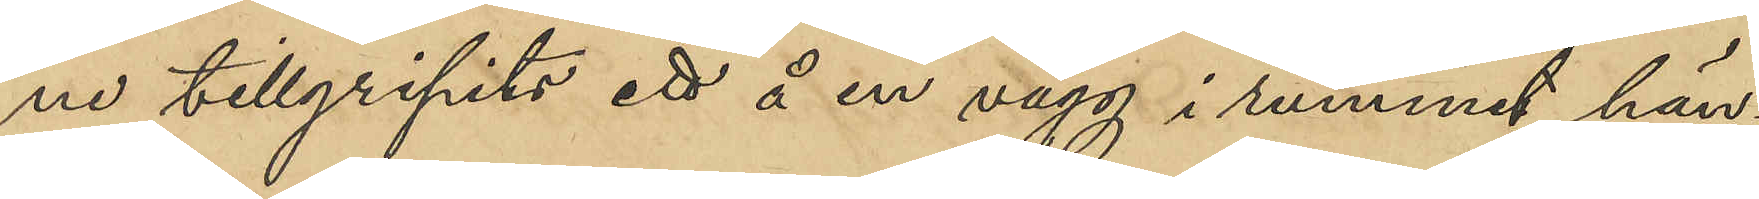ne tillgripits ett å en vägg i rummet hän¬
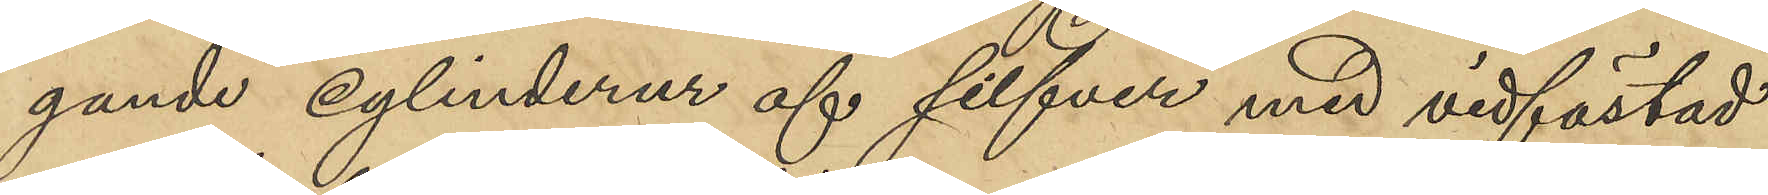gande cylinderur af silfver med vidfästad
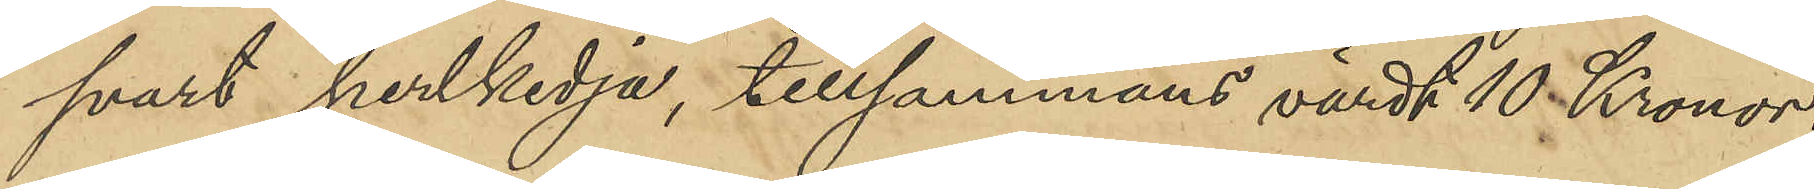svart perlkedja, tillsammans värdt 10 kronor.
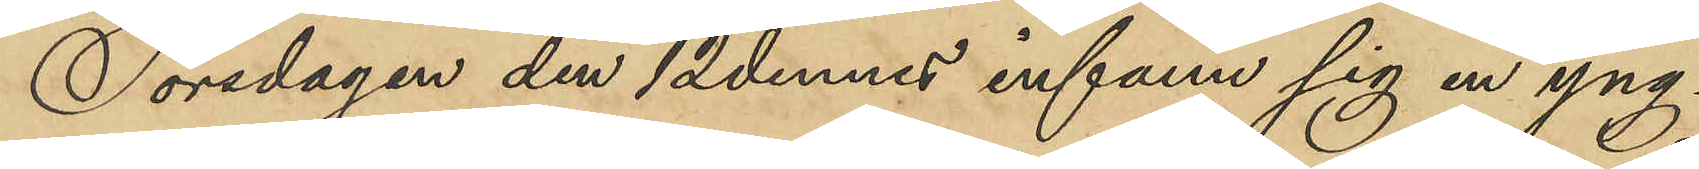Torsdagen den 12 dennes infann sig en yng¬
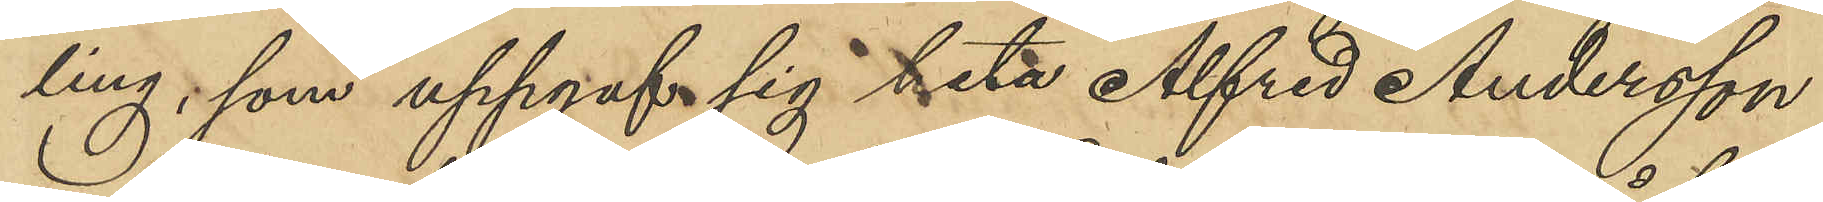ling, som uppgaf sig heta Alfred Andersson
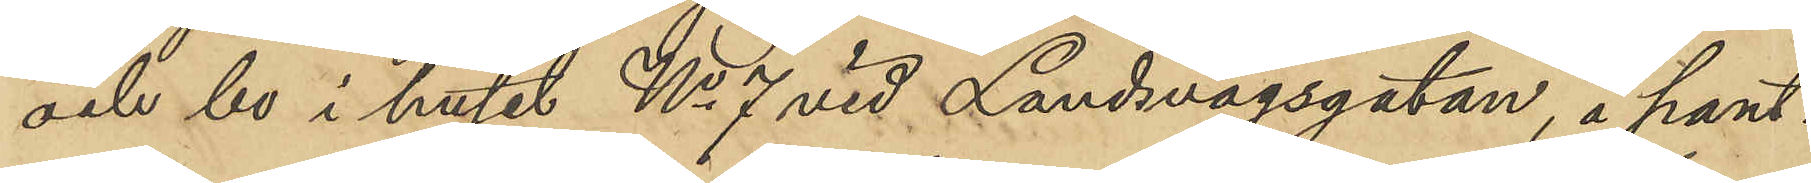och bo i huset No 7 vid Landsvägsgatan, å pant¬
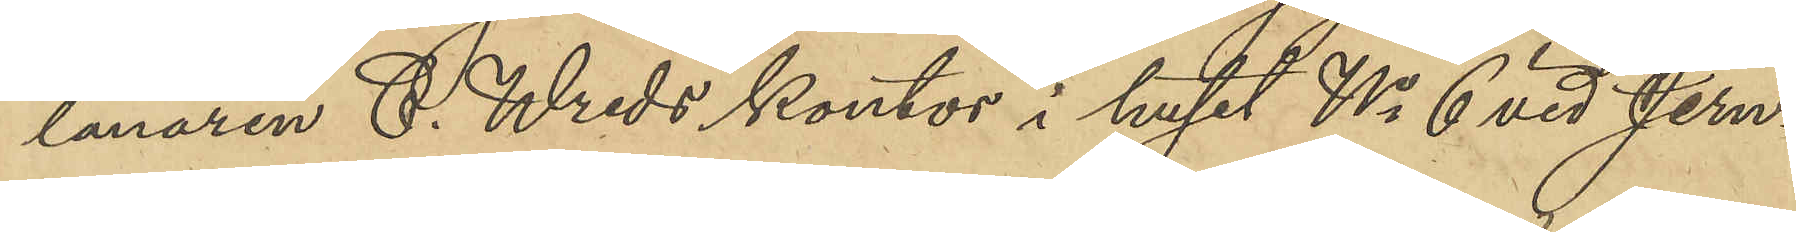lånaren C. Wreds kontor i huset No 6 vid Jern¬
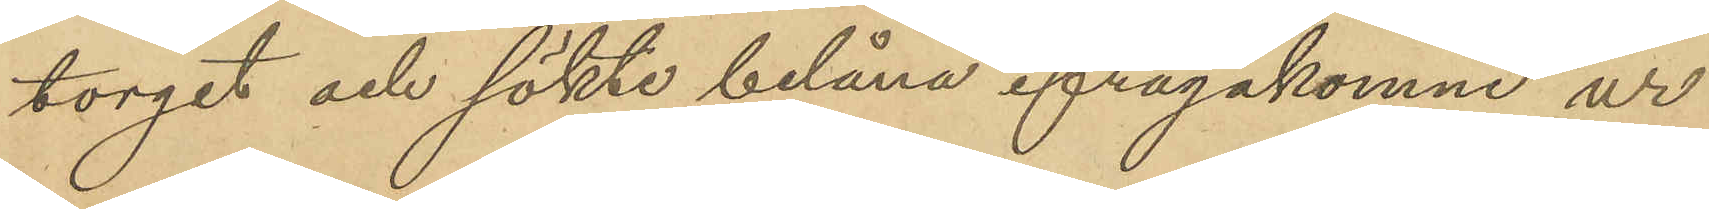torget och sökte belåna ifrågakomne ur
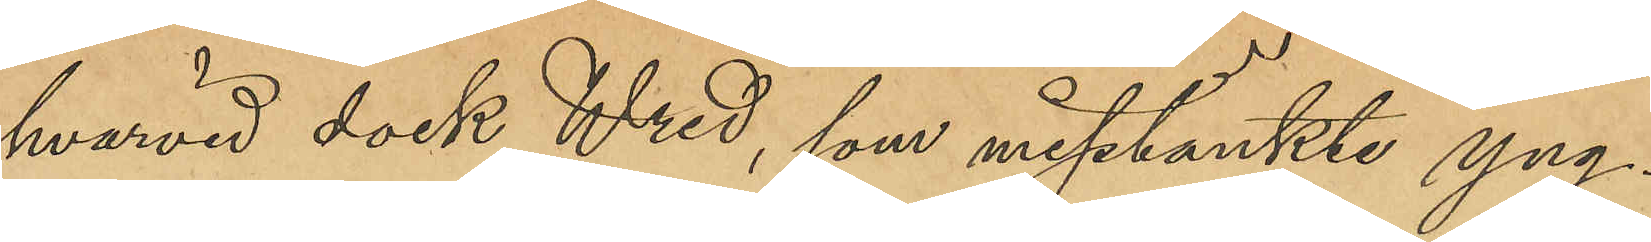hvarvid dock Wred, som misstänkte yng¬
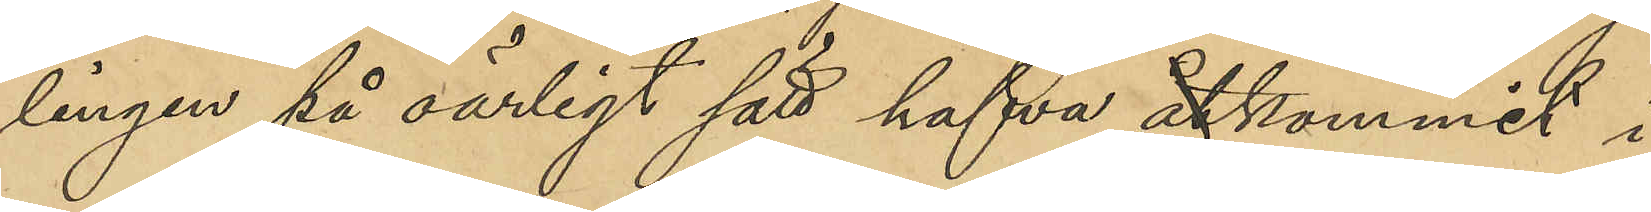lingen på oärligt sätt hafva åtkommit i
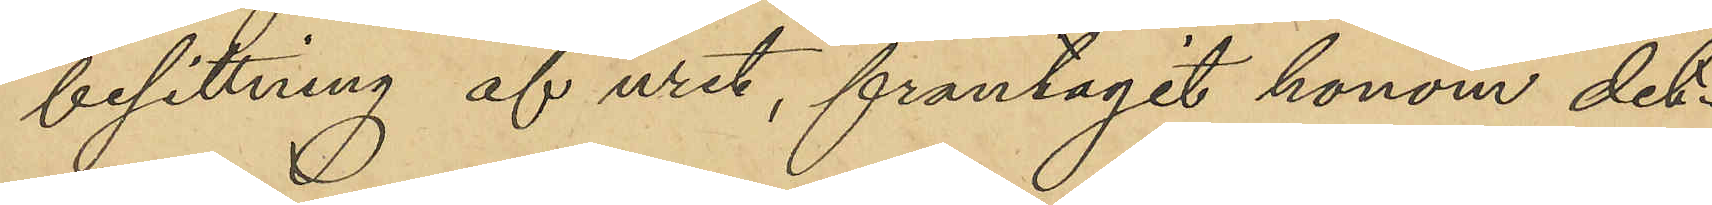besittning af uret, frantagit honom det¬
